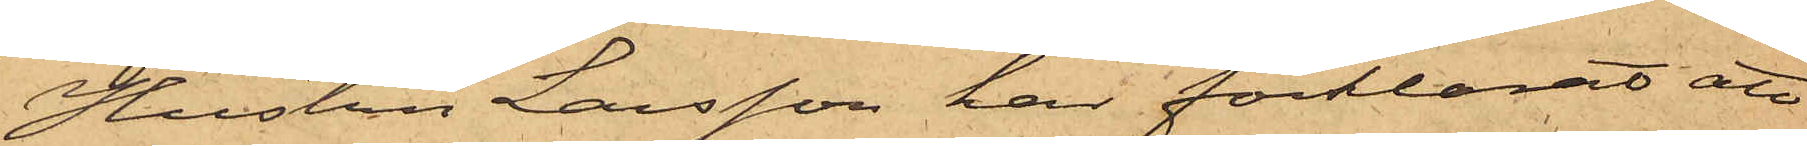Hustru Larsson har förklarat att
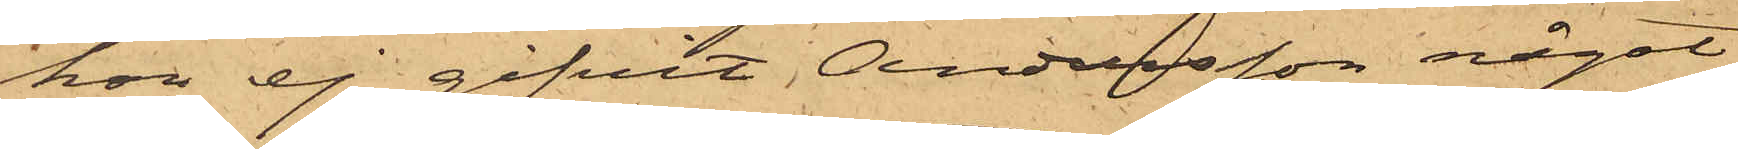hon ej gifvit Andersson något
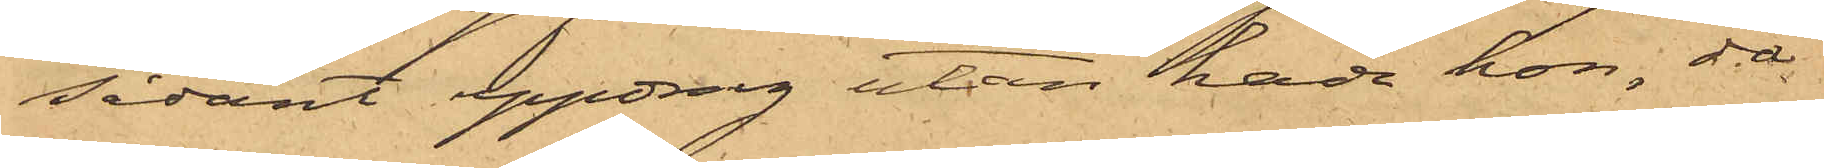sådant uppdrag utan hade hon, då
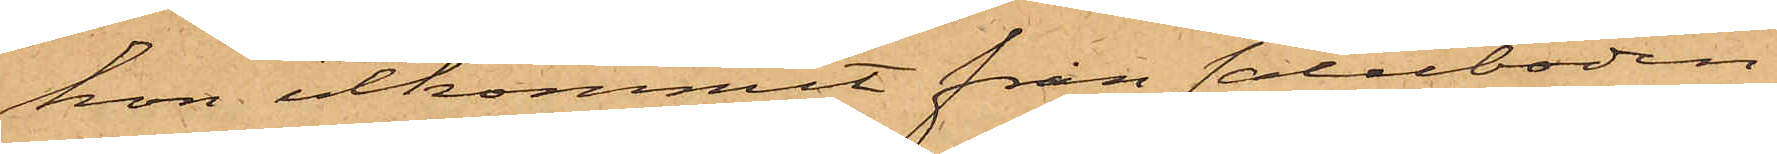hon utkommit från saluboden
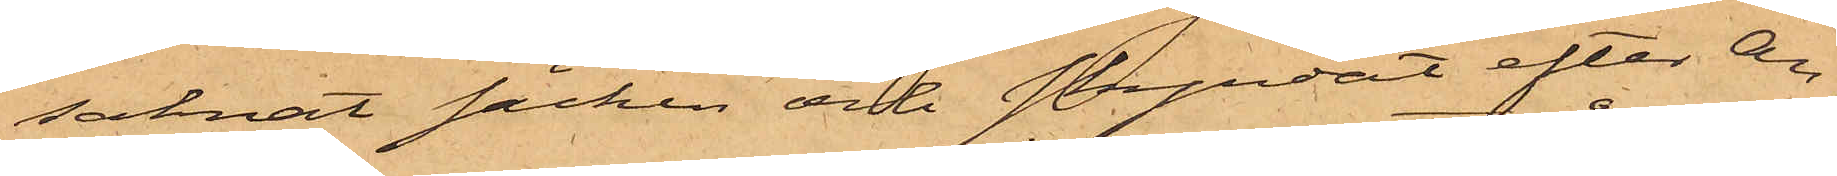saknat säcken och skyndat efter An¬
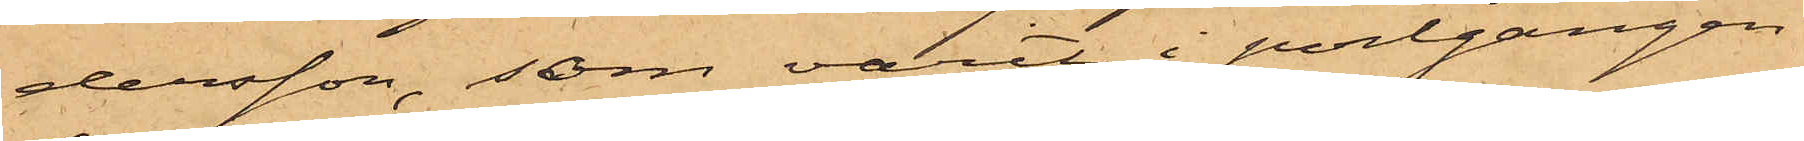dersson, som varit i portgången
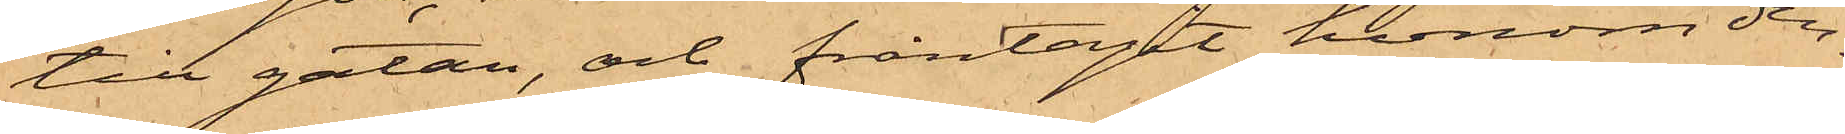till gatan, och fråntagit honom den¬
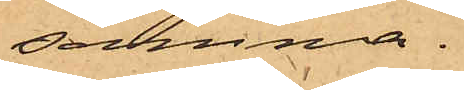samma.
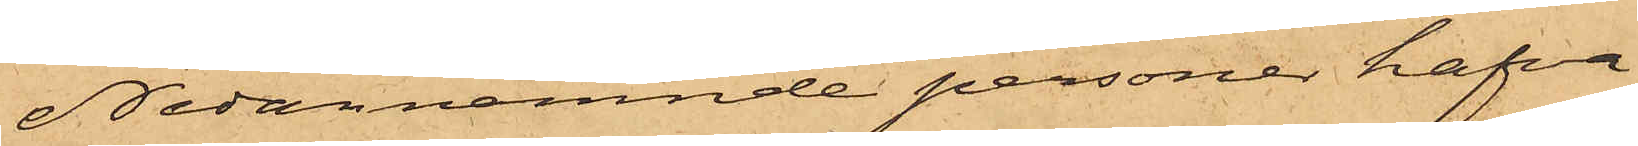Nedannämnde personer hafva
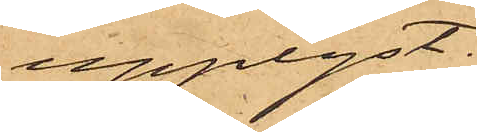upplyst:
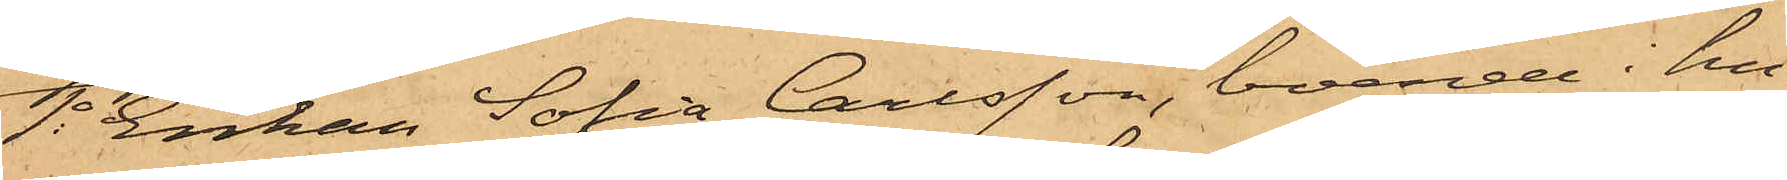1o Enkan Sofia Carlsson, boende i hu¬
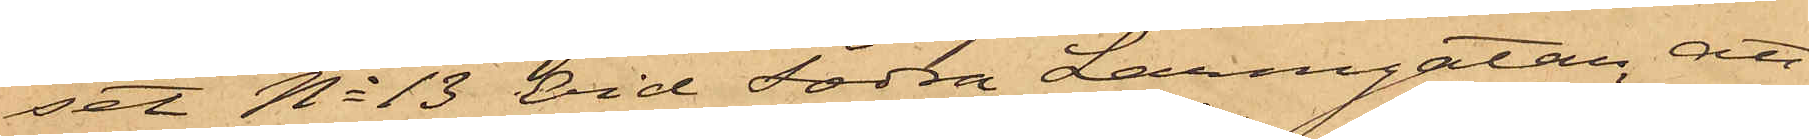set No 13 vid Södra Larmgatan, att
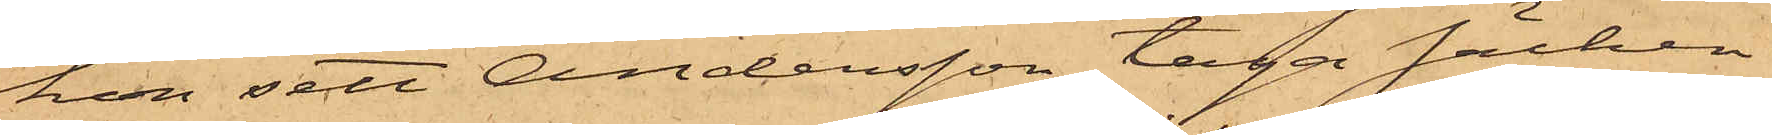hon sett Andersson taga säcken
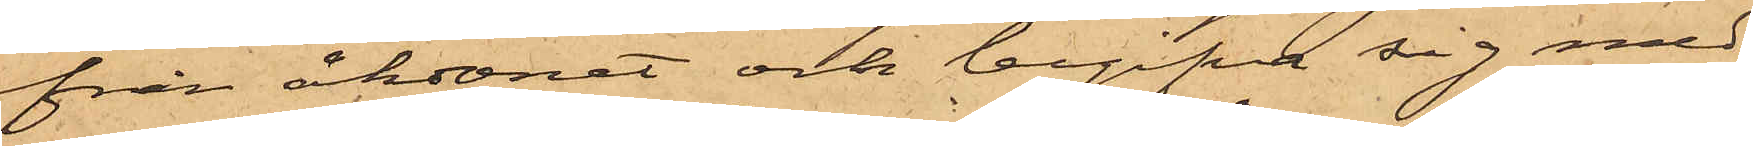från åkdonet och begifva sig med
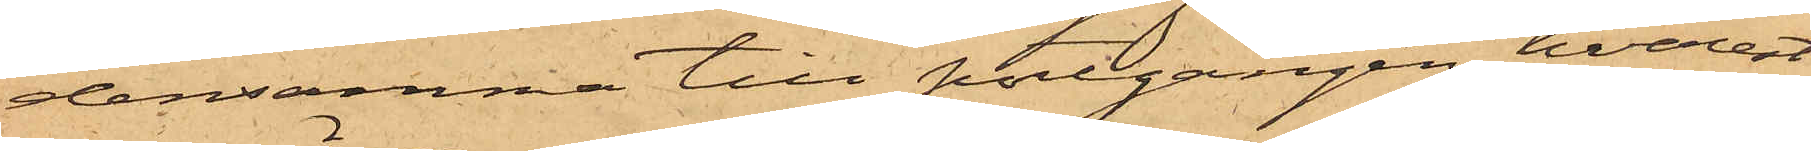densamma till portgången, hvarest
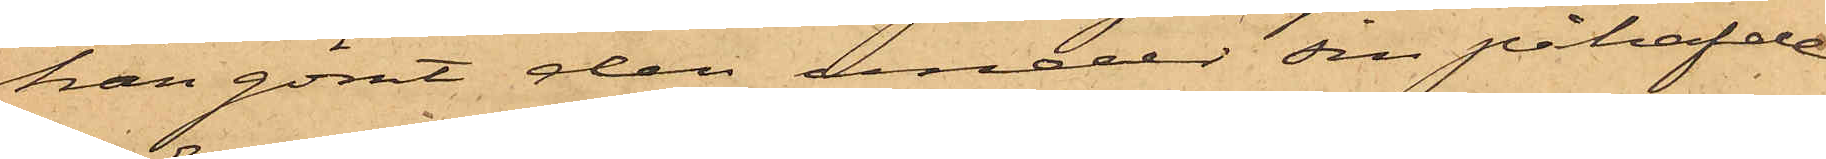han gömt den under sin påhafde
